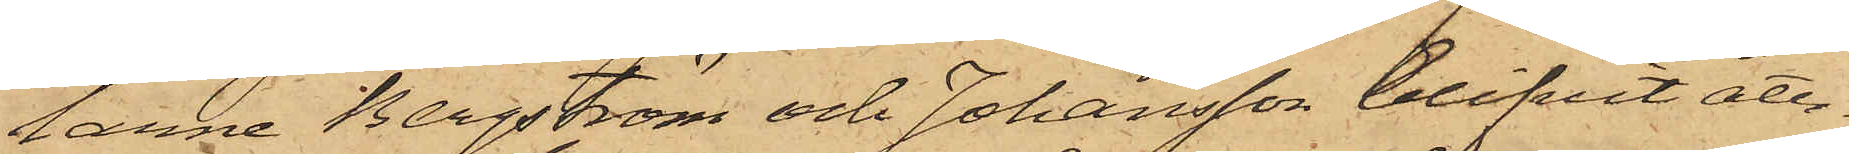larne Bergström och Johansson blifvit åter¬
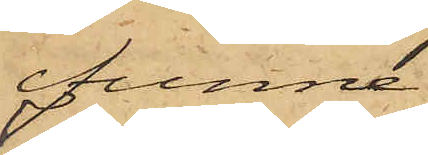funne
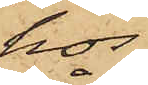hos
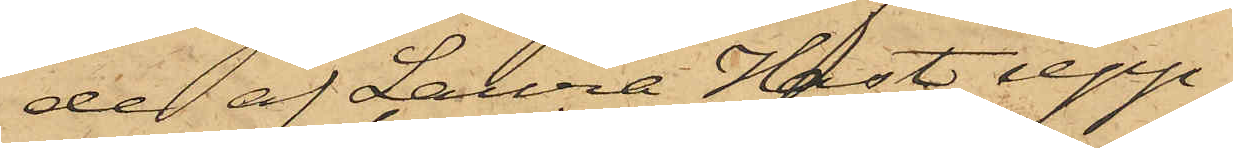de af Laura Hast upp¬
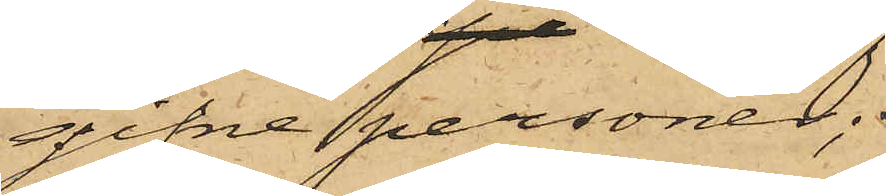gifne personer;
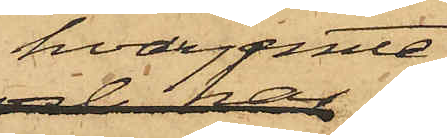hvarjemte
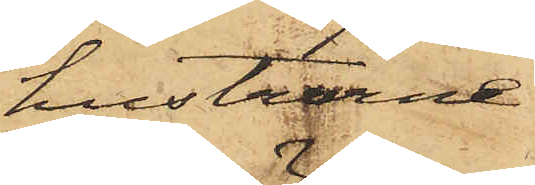hustrurne
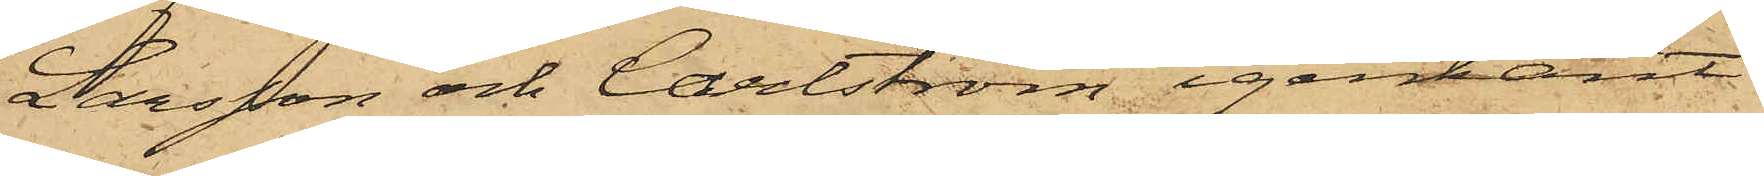Larsson och Carlström igenkänt
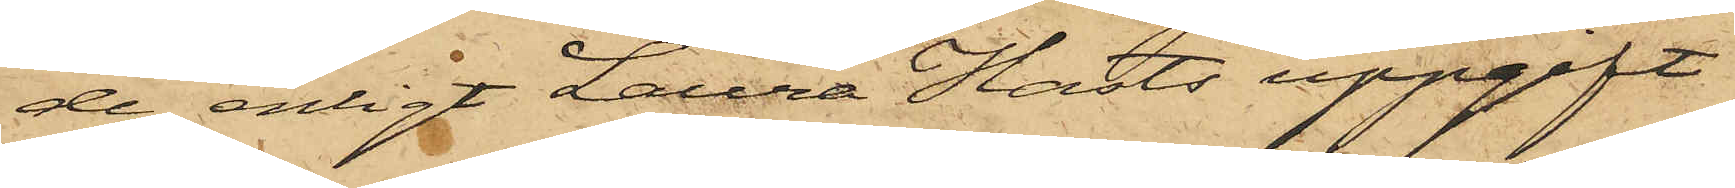de, enligt Laura Harts uppgift
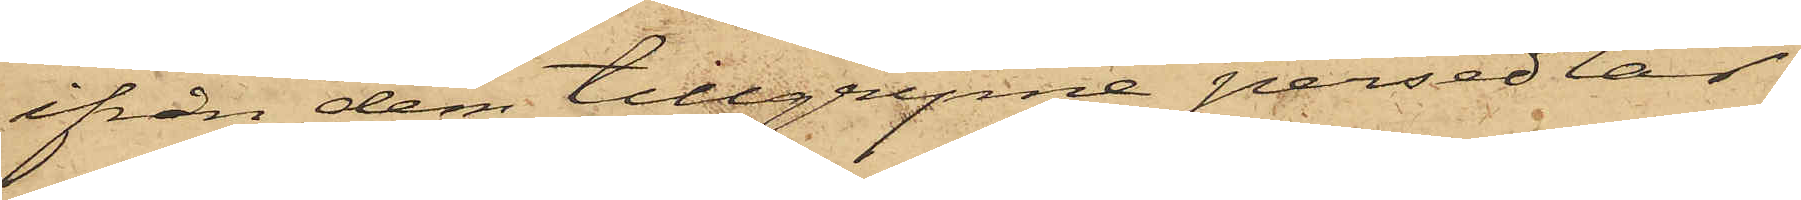ifrån dem tillgripne persedlar,
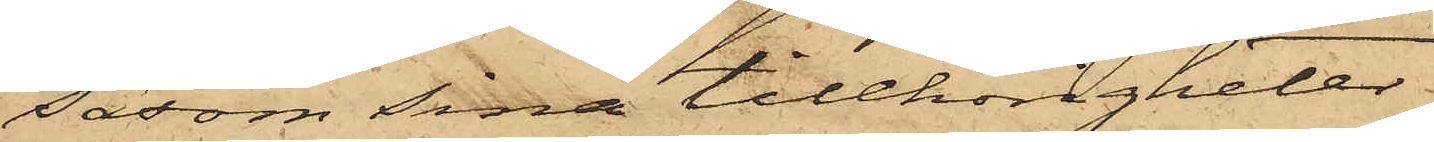Såsom sina tillhörigheter.
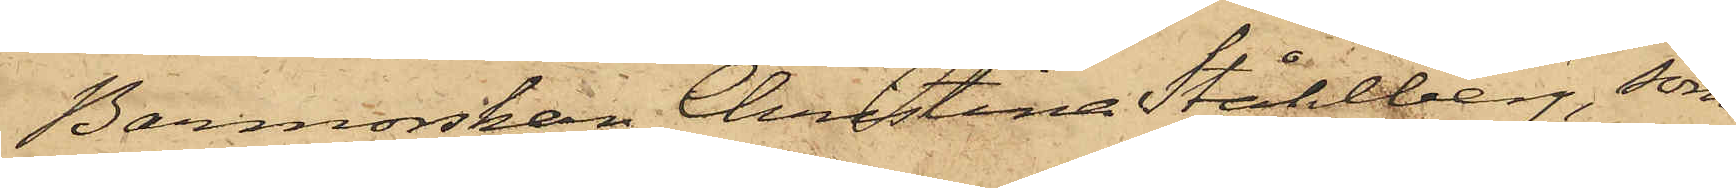Barmorskan Christina Ståhlberg, som
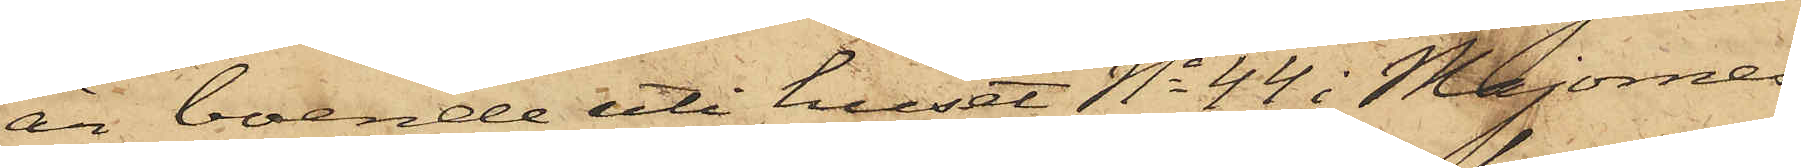är boende uti huset No 44 i Majornas
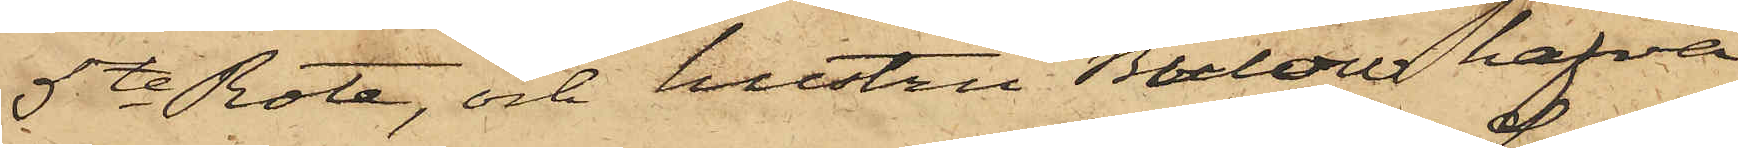5te Rote, och hustru Bülow hafva
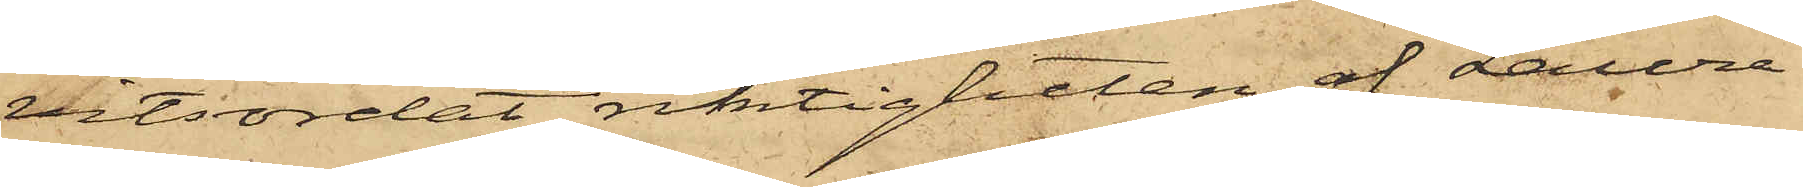vitsordat riktigheten af Laura
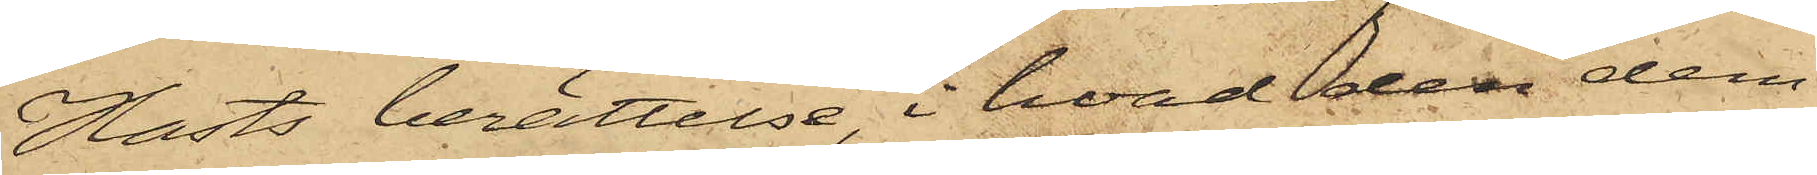Hasts berättelse, i hvad den dem
